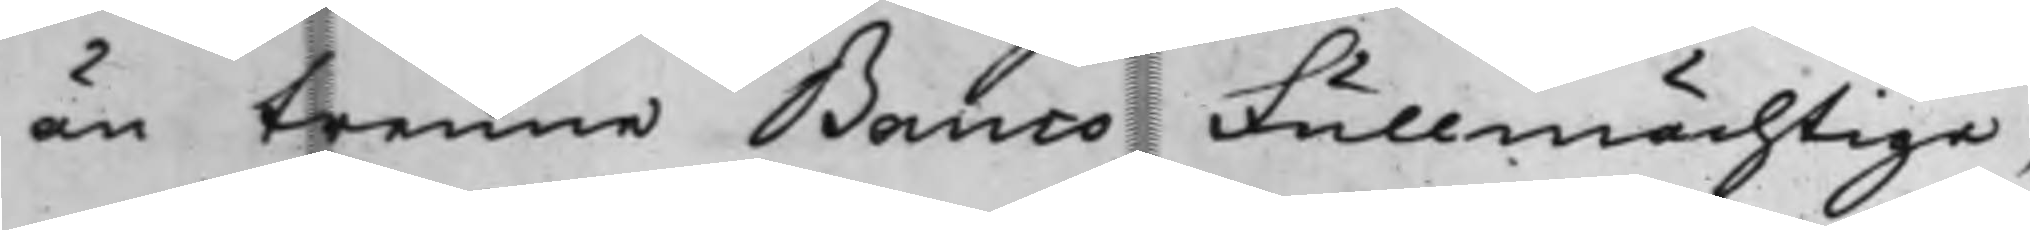än trenne Banco Fullmächtige,
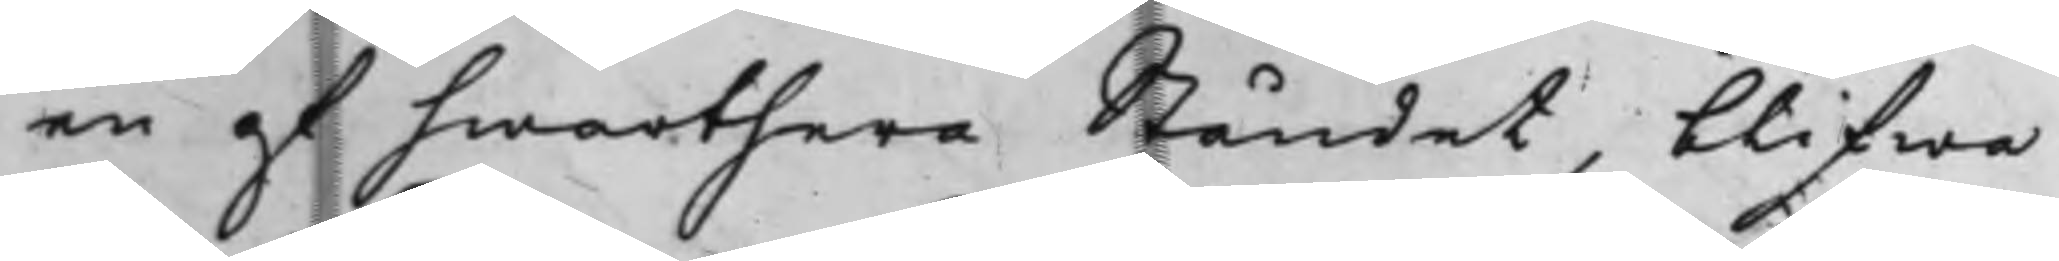en af hwarthera Ståndet, blifwa
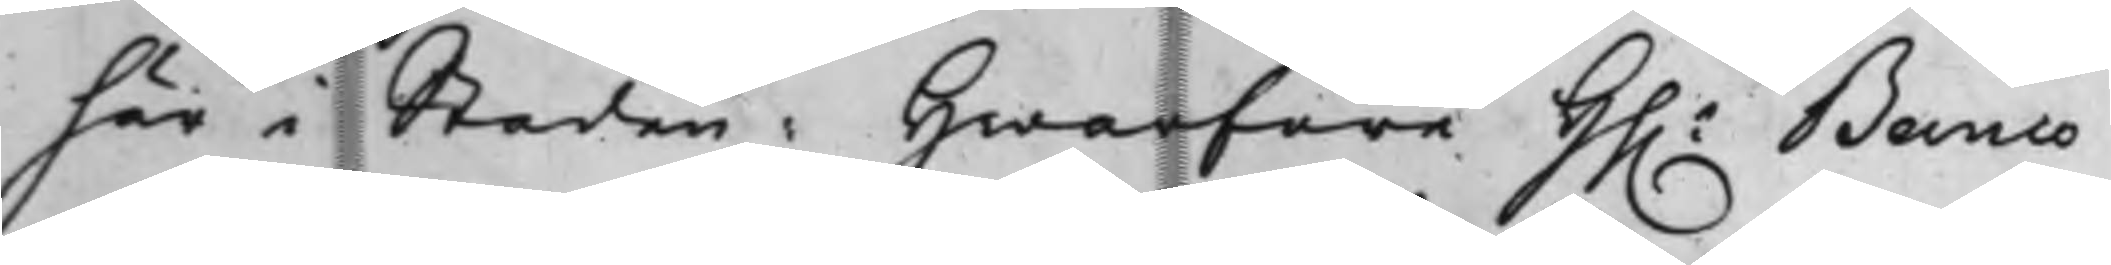här i Staden: Hwarföre Hh.r Banco¬
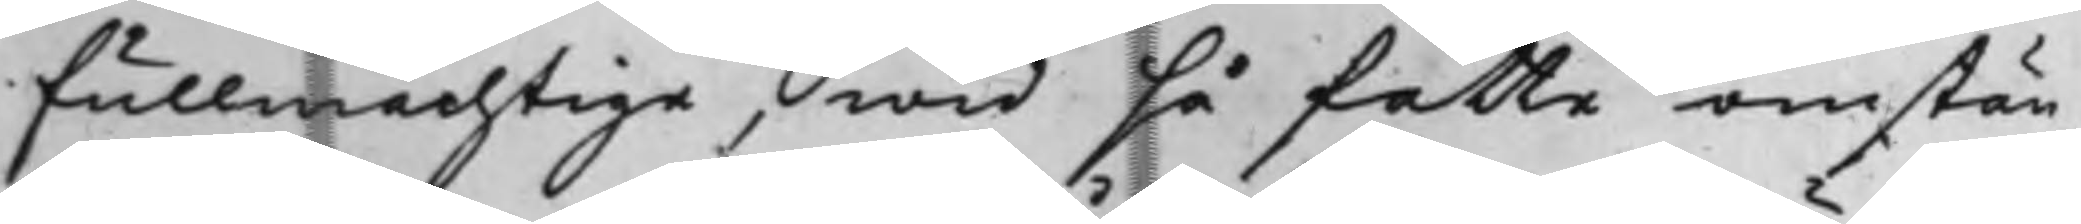fullmächtige, wid så fatte omstän¬
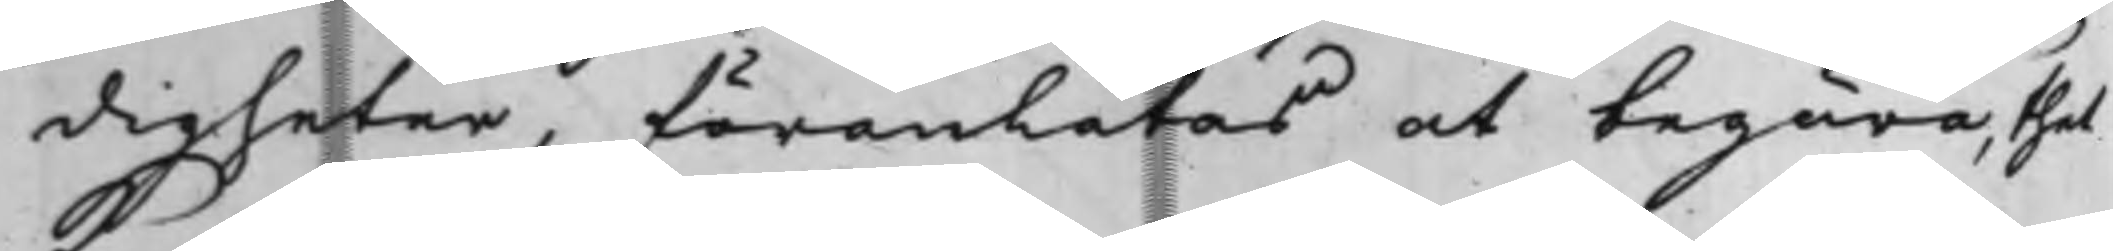digheter, föranlåtas at begära, thet
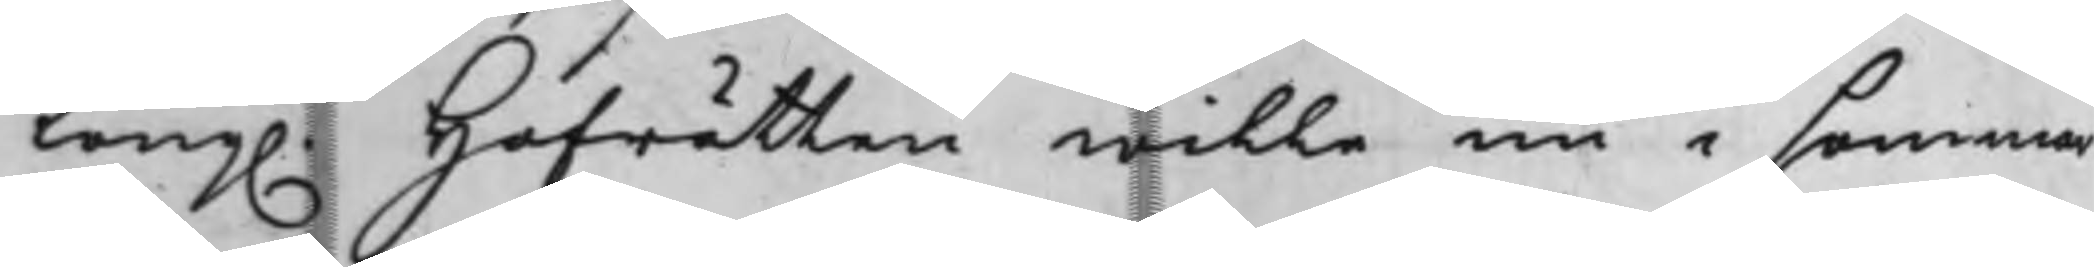Kong. Hofrätten wille nu i sommar
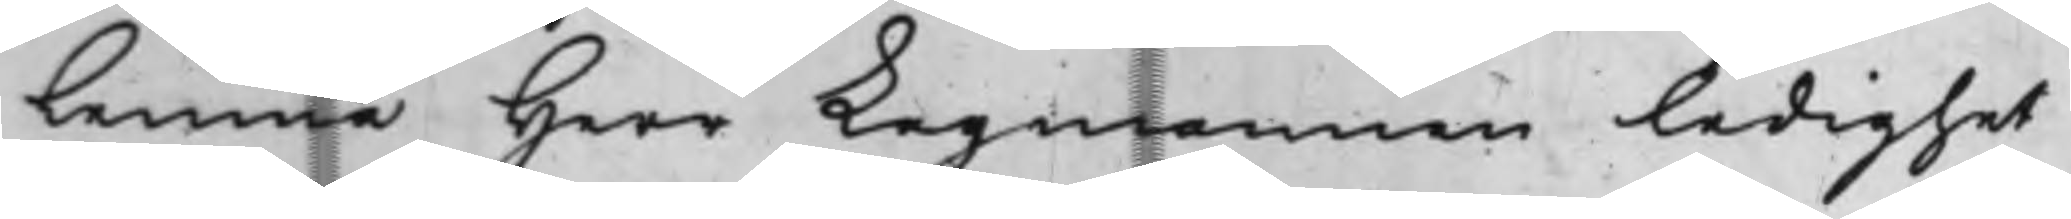lemna Herr Lagmannen ledighet
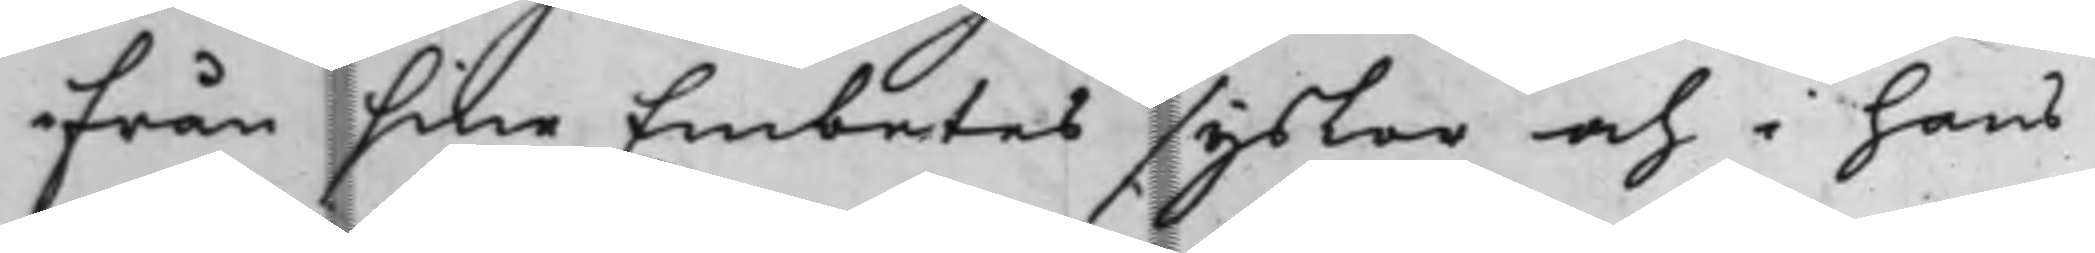ifrån sine Embetessyslor och i hans
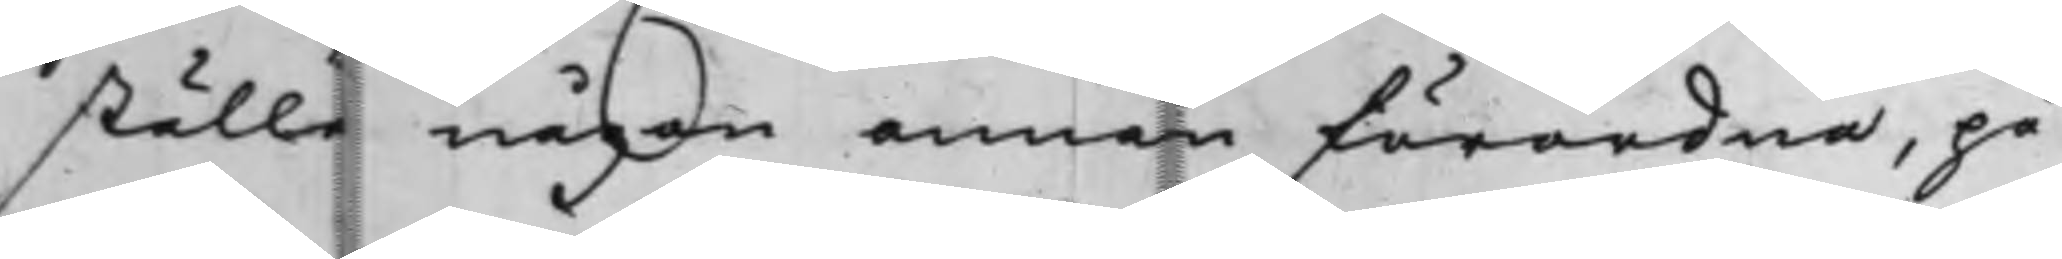ställe någon annan förordna, på
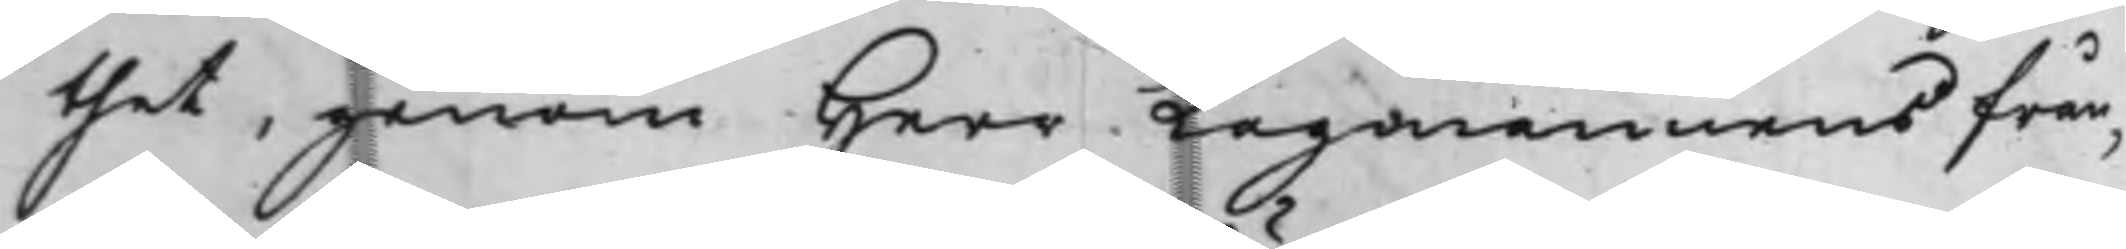thet, genom Herr Lagmannens från¬
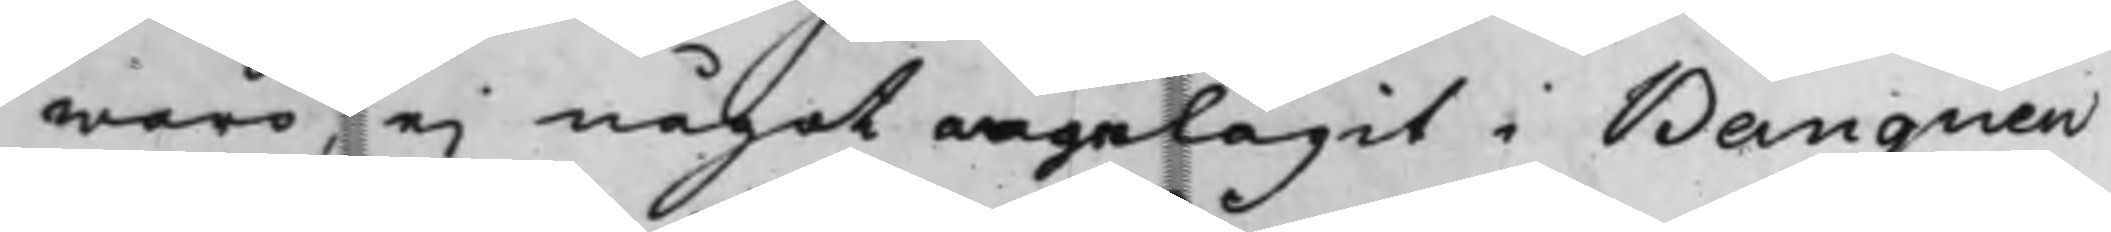waro, ej något angelägit i Banquen
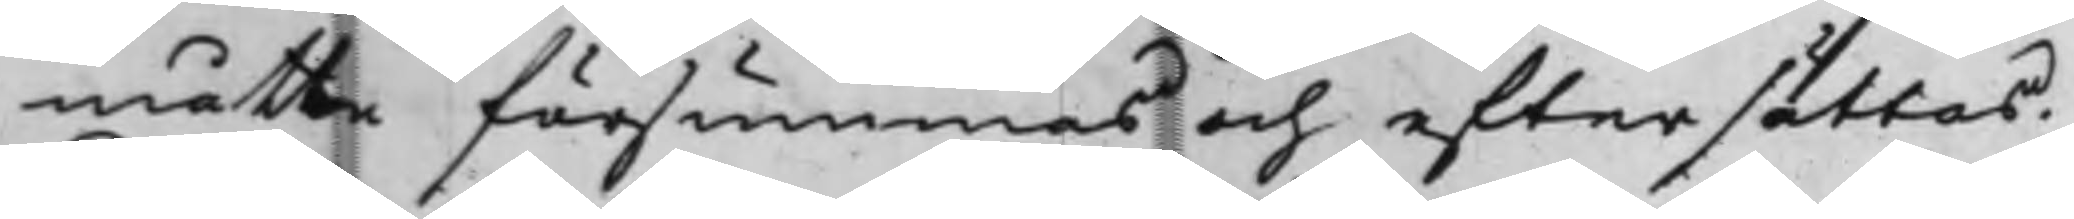måtte försummas och eftersättas.
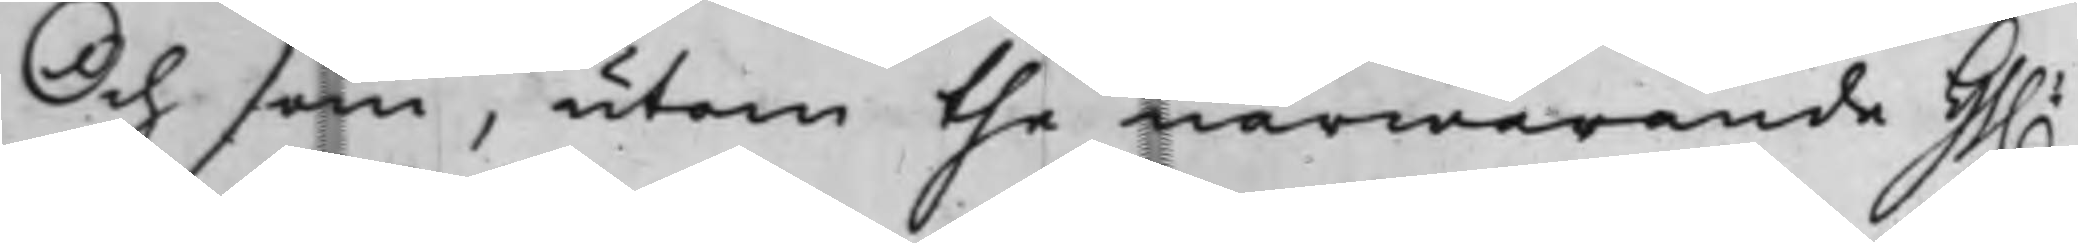Och som, utom the närwarande Hh.
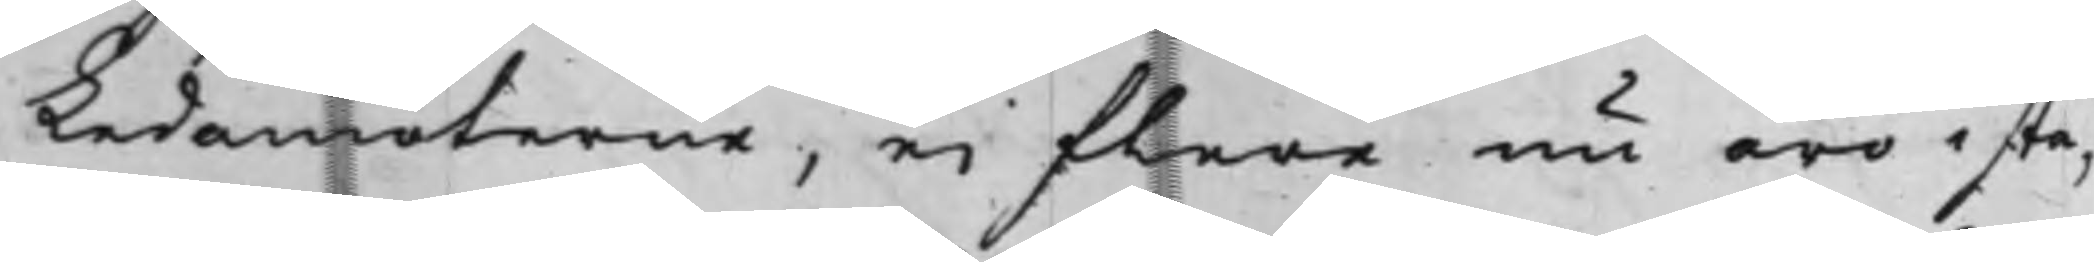Ledamöterne, ei flere nu äro i sta¬
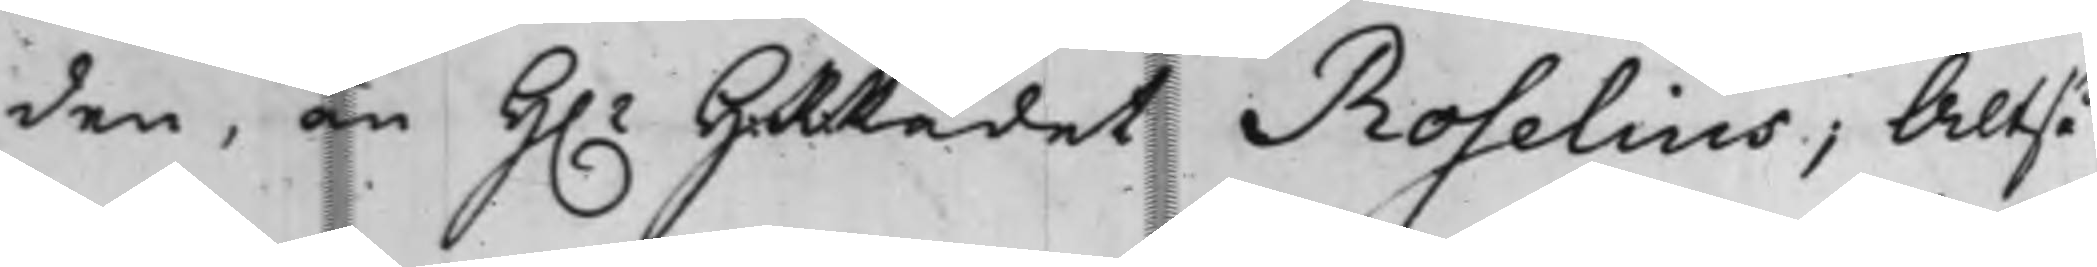den, än H.r HRRådet Roselius; Altså
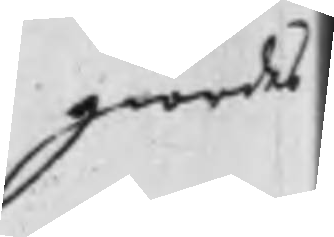giordes
